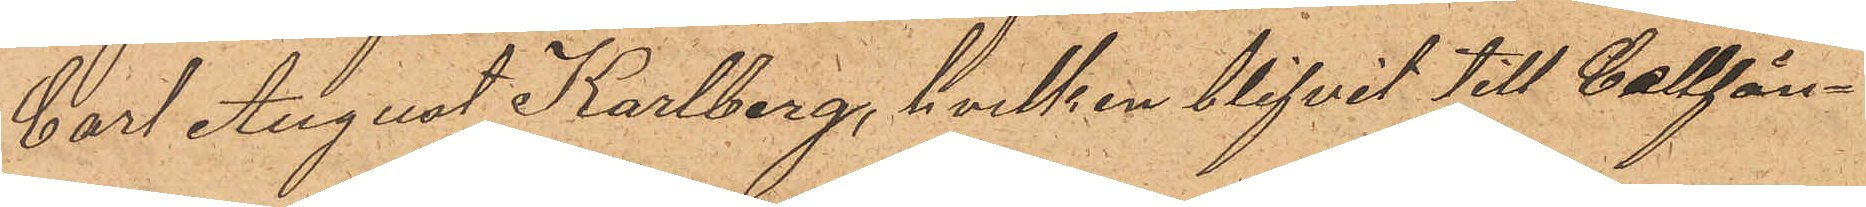Carl August Karlberg, hvilken blifvit till Cellfän¬
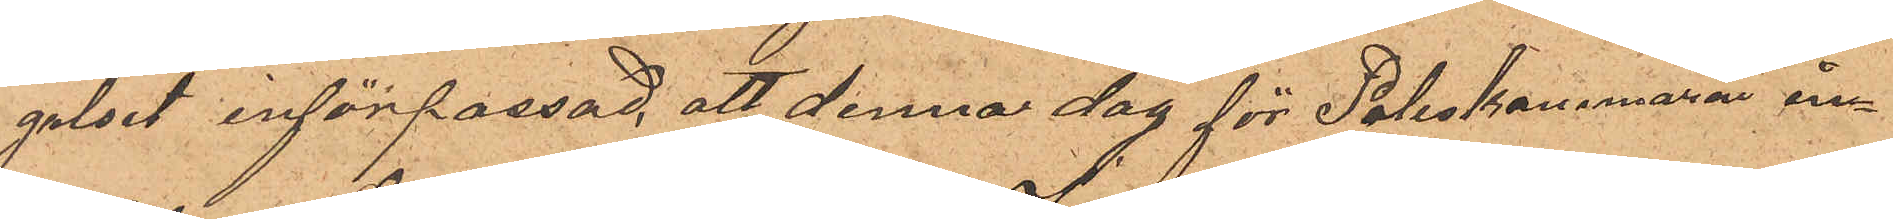gelset införpassad, att denna dag för Poliskammaren in¬
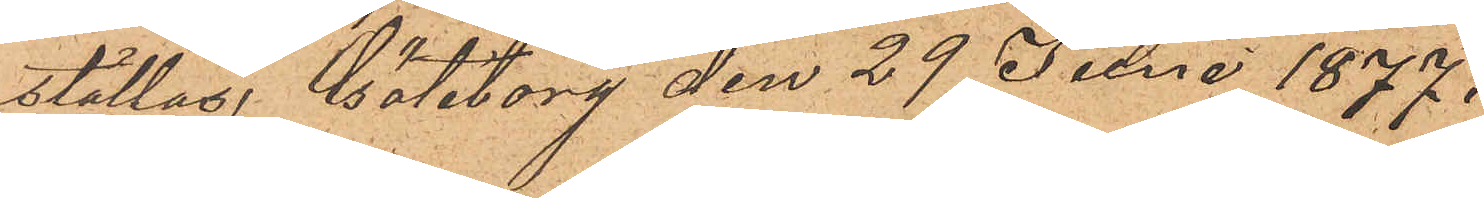ställas. Göteborg den 29 Juni 1877.
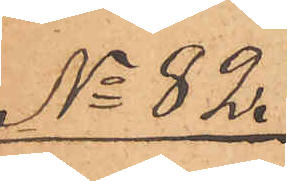No 82.
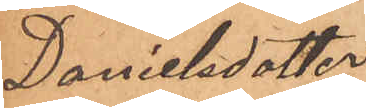Danielsdotter
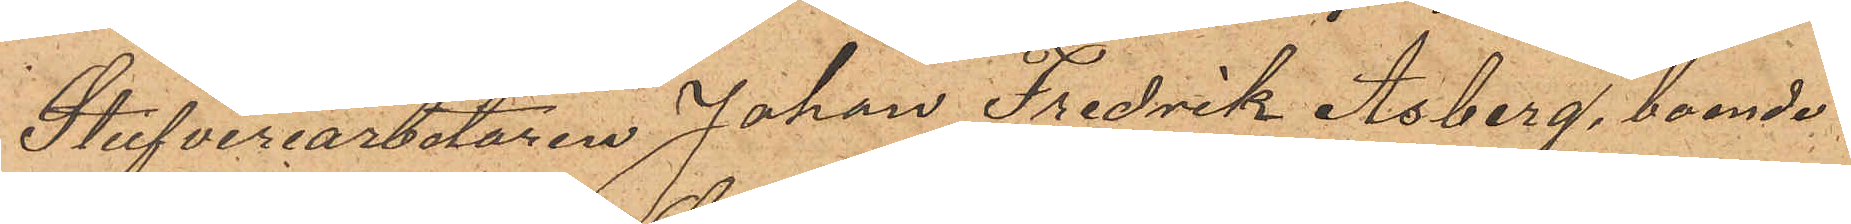Stufveriarbetaren Johan Fredrik Åsberg, boende
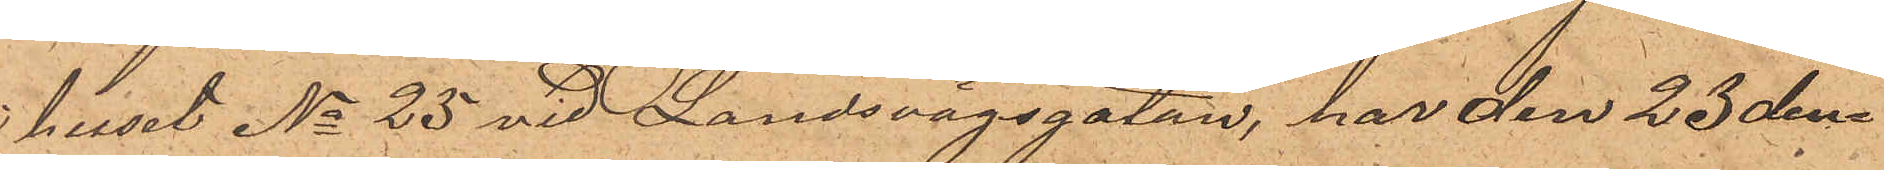i huset No 25 vid Landsvägsgatan, har den 23 den¬
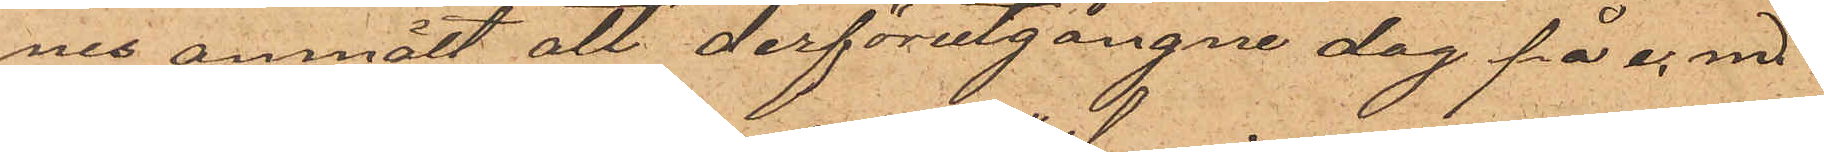nes anmält att derförutgångne dag på e. m.
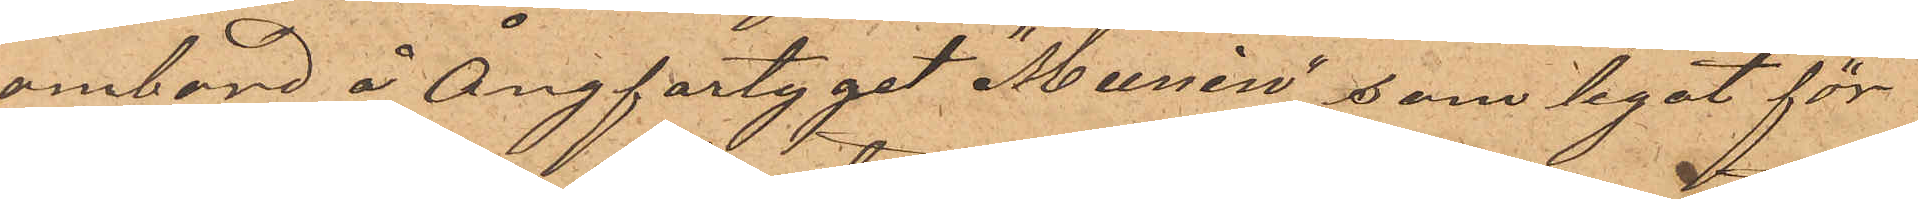ombord å Ångfartyget "Munin, som legat för¬
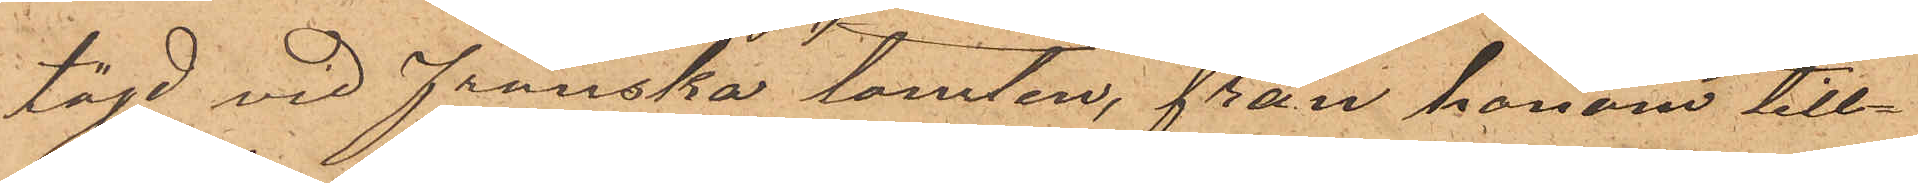töjd vid franska tomten, från honom till¬
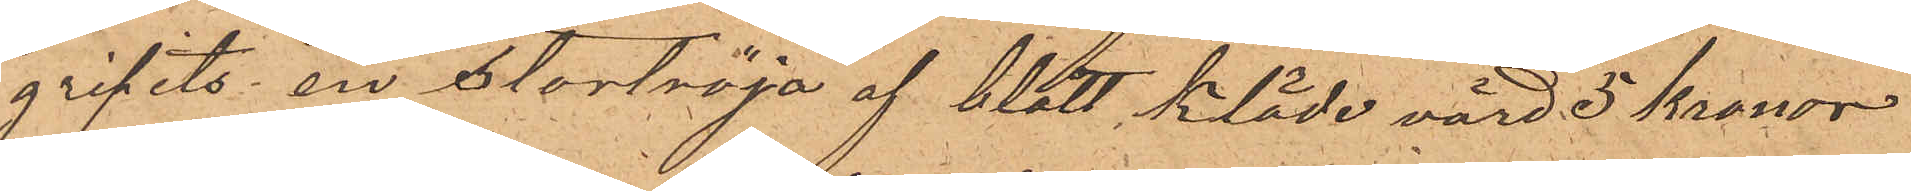gripits en stortröja af blått kläde, värd 5 kronor
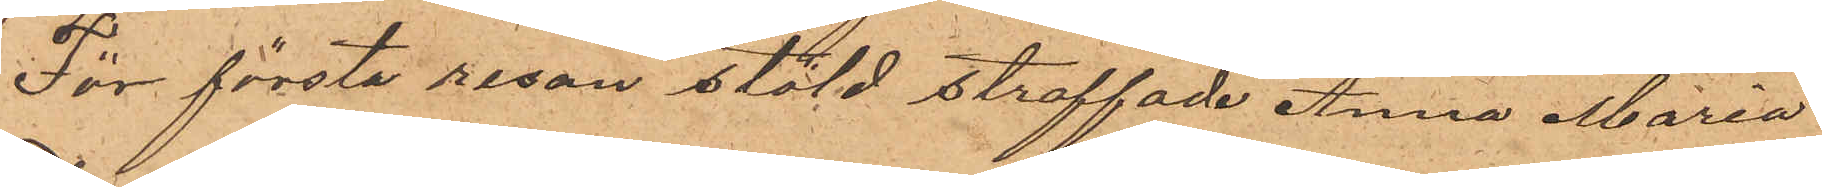För första resan stöld straffade Anna Maria
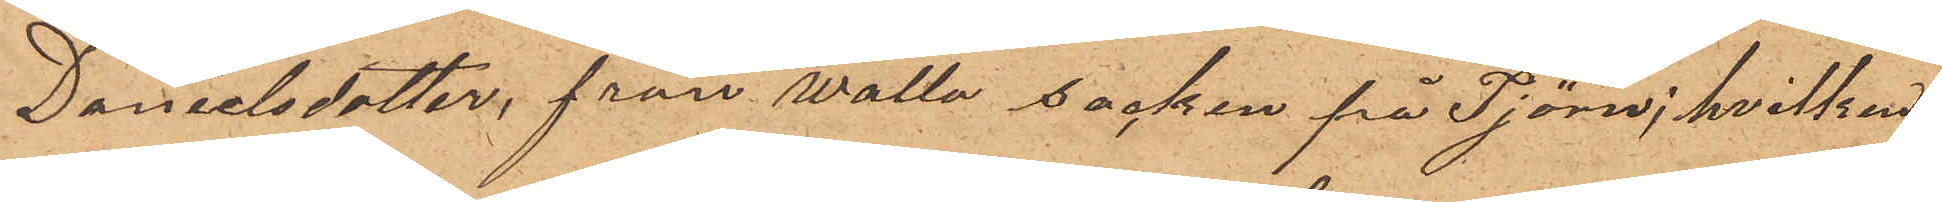Danielsdotter, från Walla socken på Tjörn; hvilken
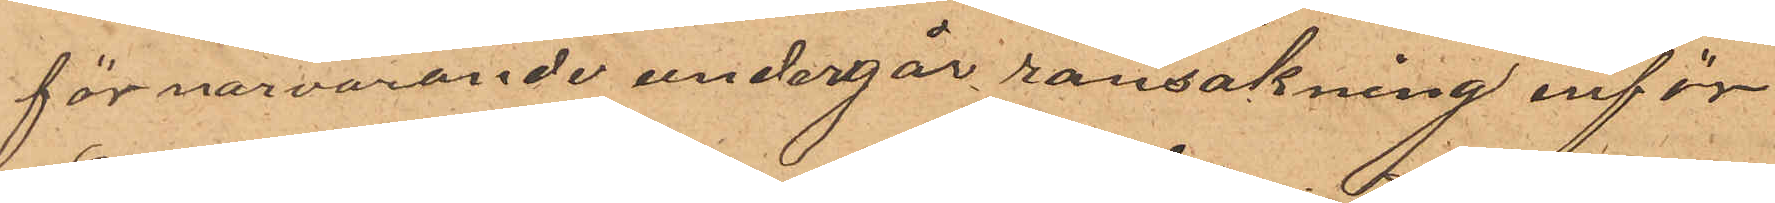för närvarande undergår ransakning inför
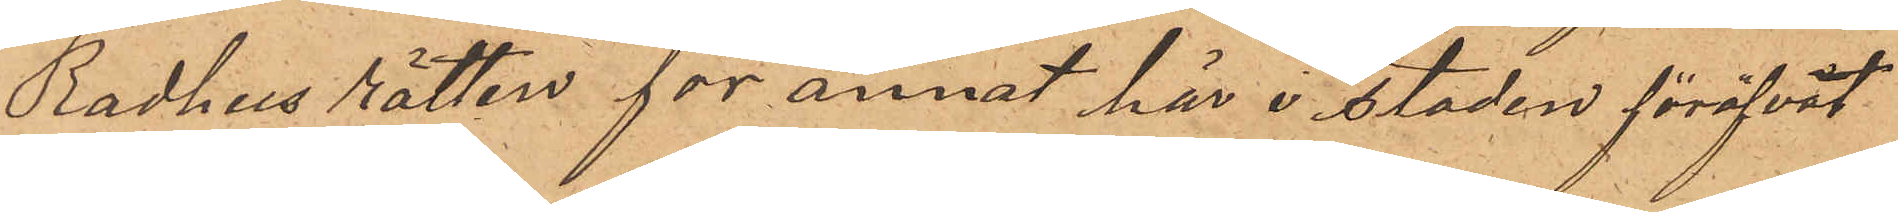Rådhus rätten för annat här i staden föröfvat
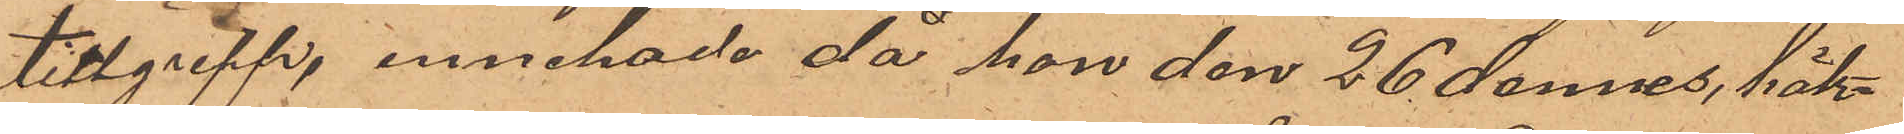tillgrepp, innehade, då hon den 26 dennes häk¬
